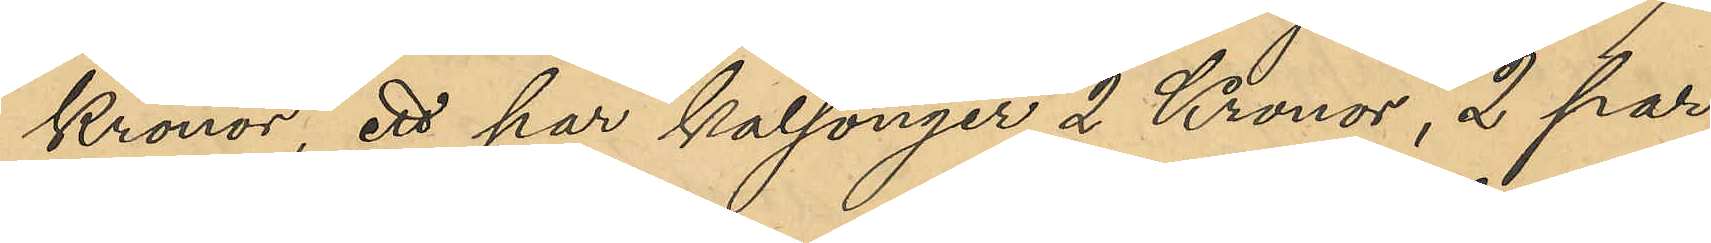Kronor, ett par kalsonger 2 Kronor, 2 par
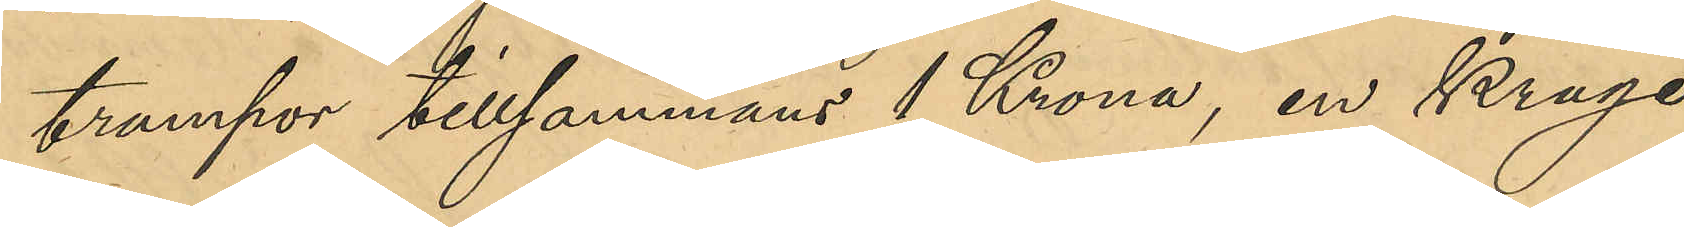trumpor tillsammans 1 Krona, en Krage,
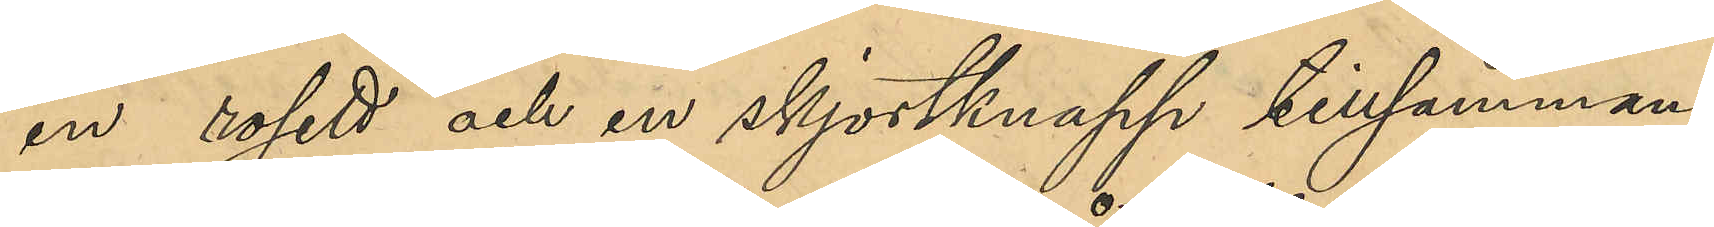en rosett och en skjortknapp tillsammans
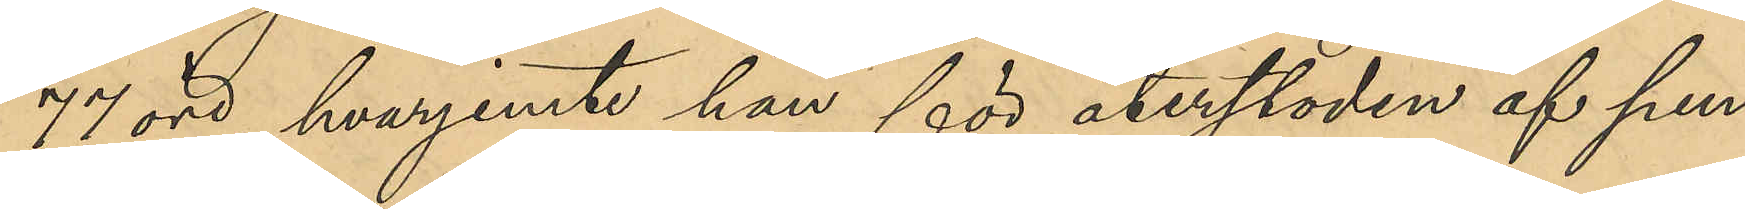77 öre, hvarjemte han för återstoden af pen¬
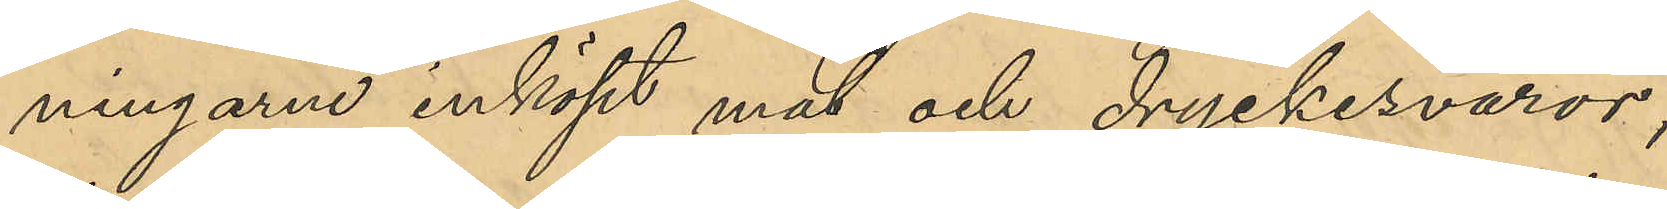ningarne inköpt mat och dryckesvaror;
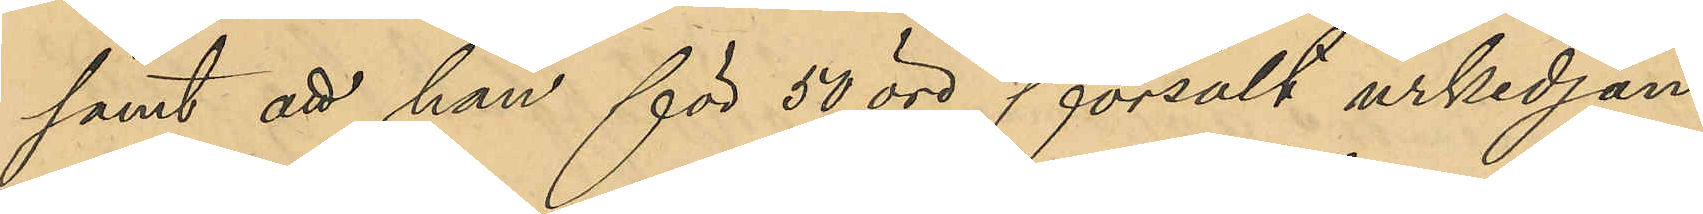samt att han för 50 öre försålt urkedjan
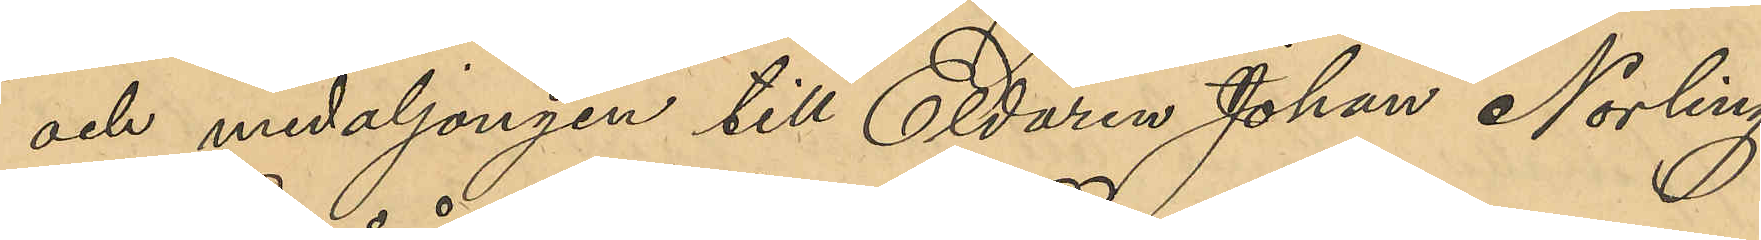och medaljongen till Eldaren Johan Norling,
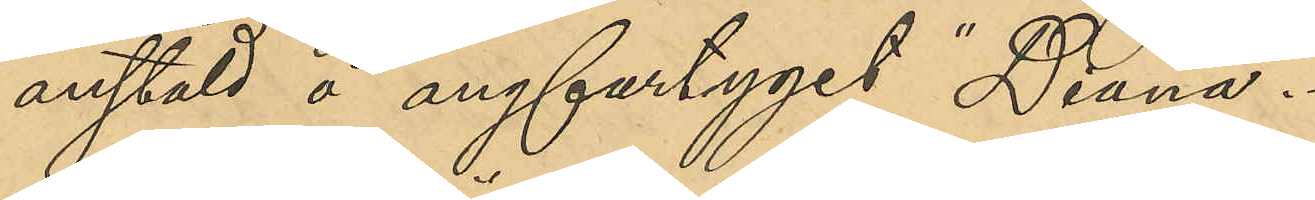anstäld å ångfartyget "Diana".
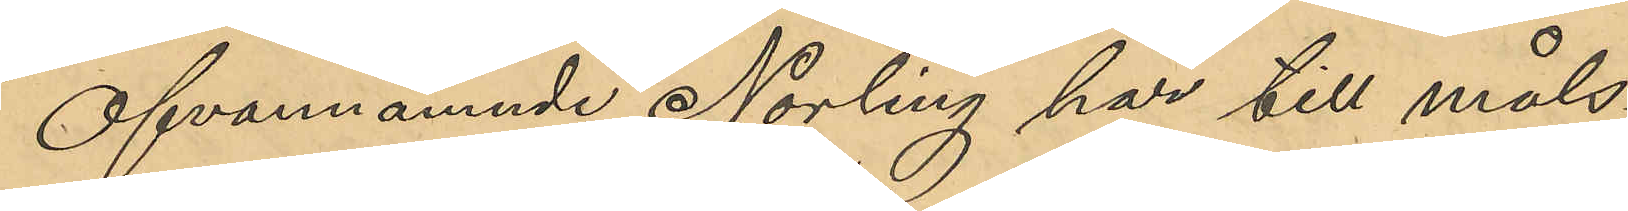Ofvannämnde Norling har till måls¬
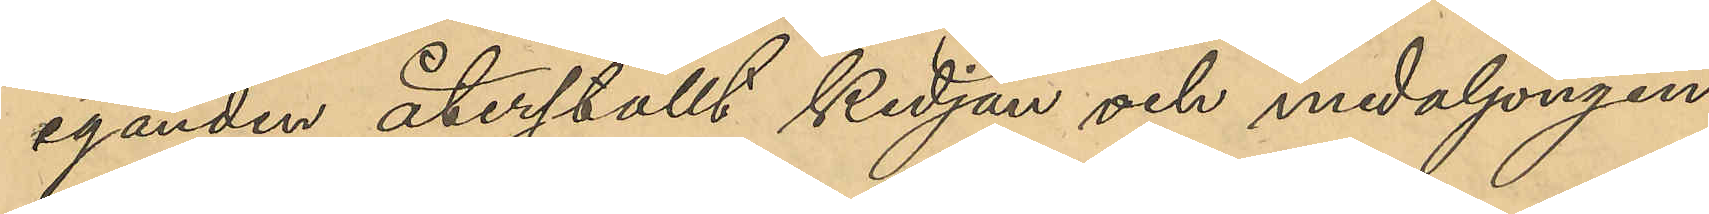eganden återställt kedjan och medaljongen.
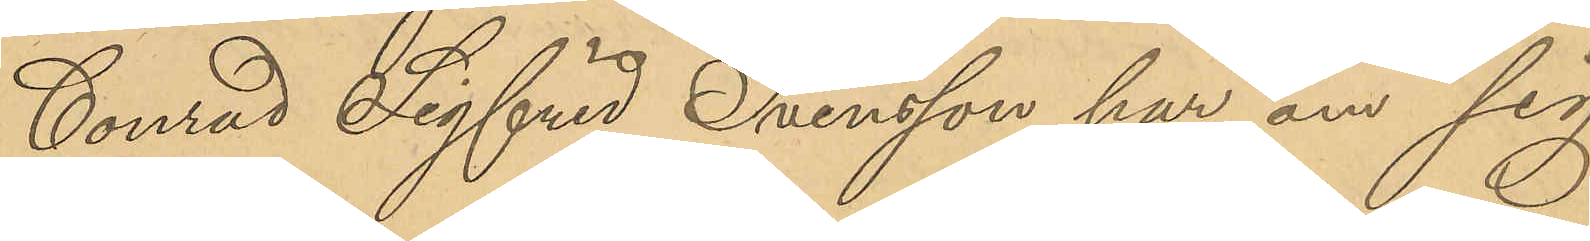Conrad Sigfrid Svensson har om sig
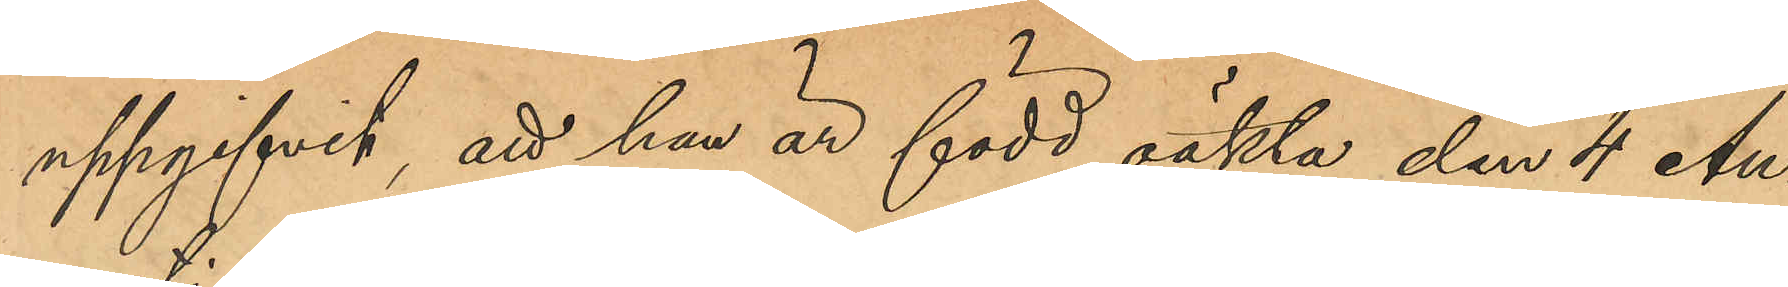uppgifvit, att han är född oäkta den 4 Au¬
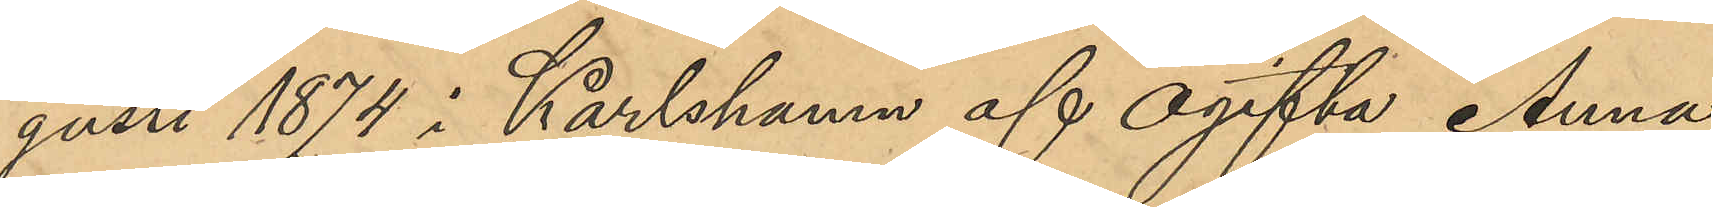gusti 1874 i Karlshamn af ogifta Anna
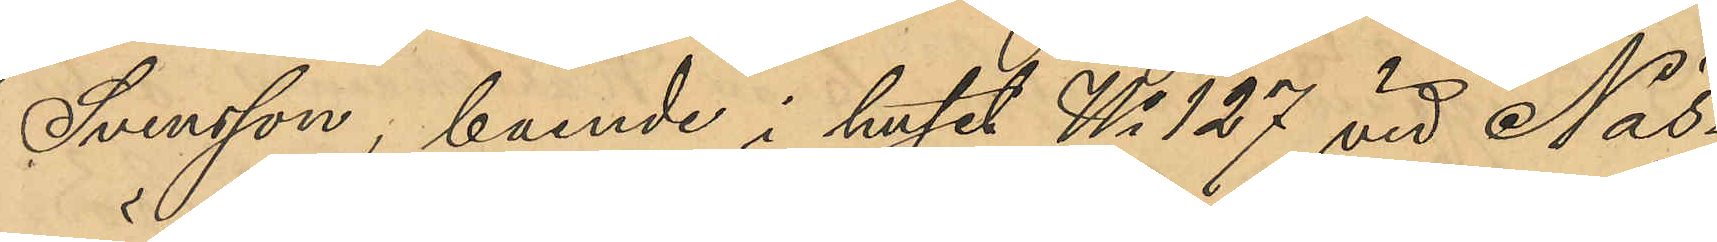Svensson, boende i huset No 127 vid Näs¬
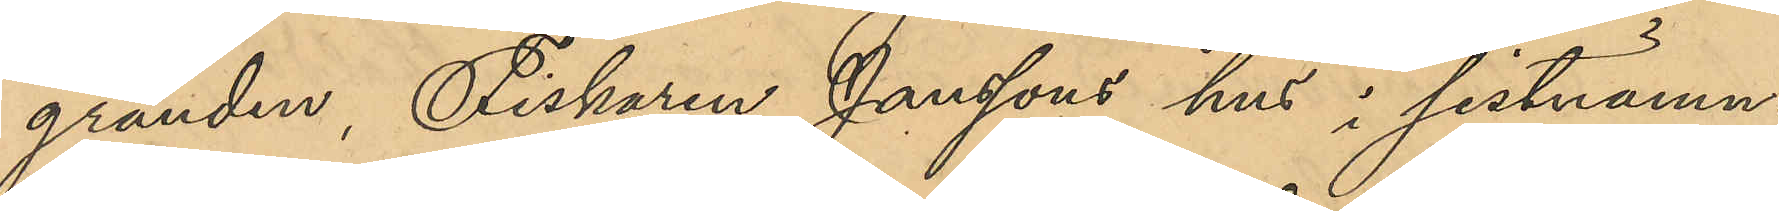gränden, Fiskaren Janssons hus i sistnämn¬
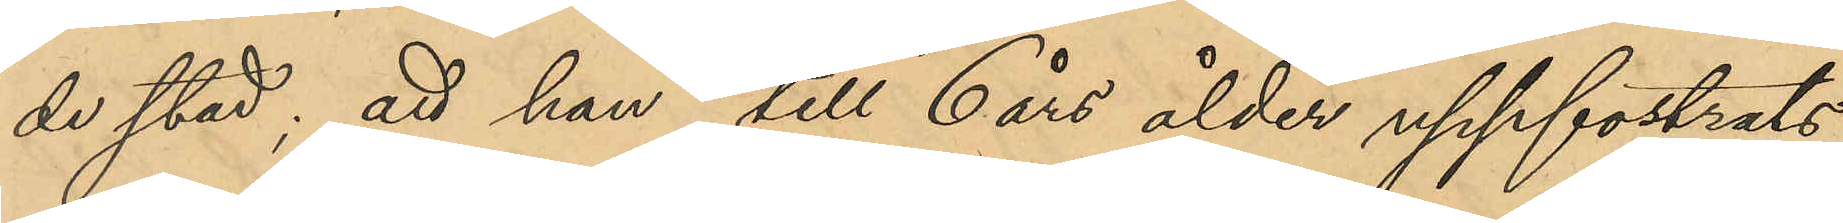de stad; att han till 6 års ålder uppfostrats
